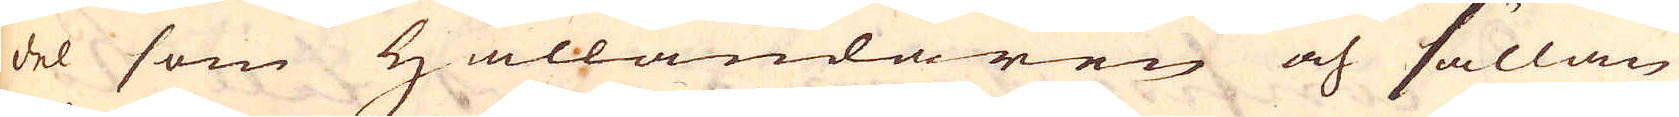del som Hålländaren och sällan
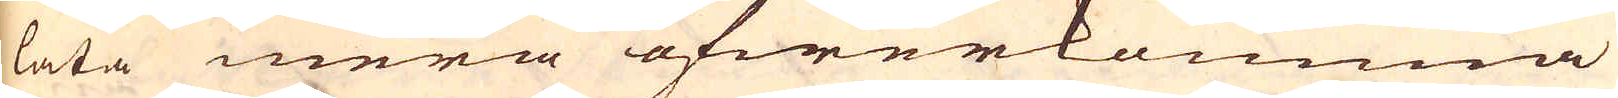låta mera öfwerkomma
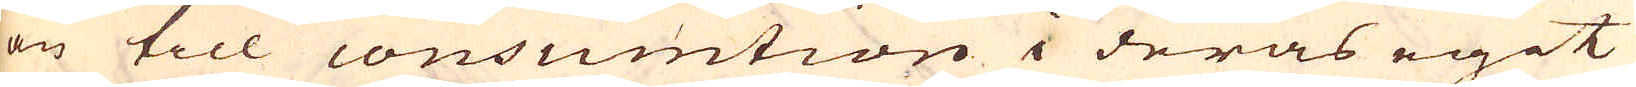än till consumtion i deras egit
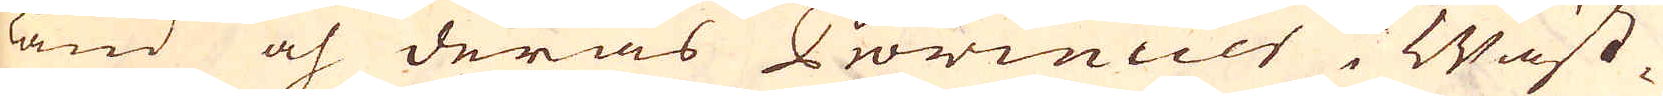land och deras Provincier i Wäst-
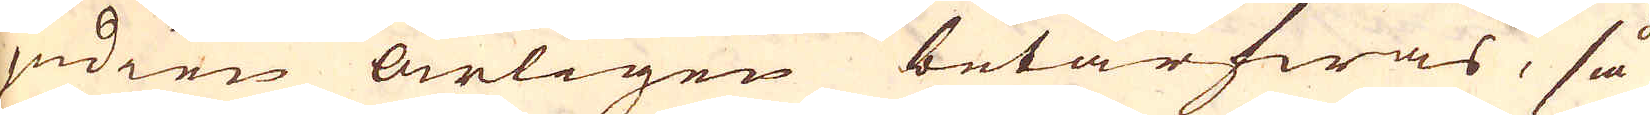indien årligen betarfwas, så
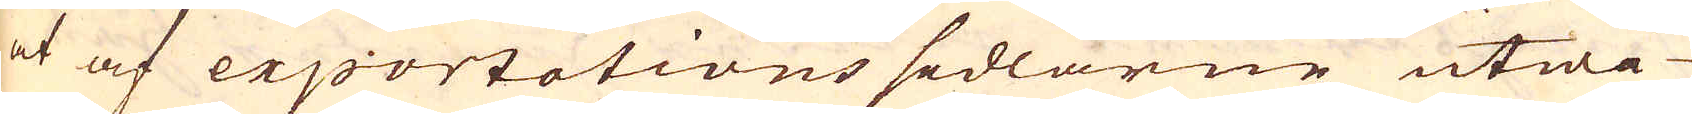at af exportations sedlarne utwi-
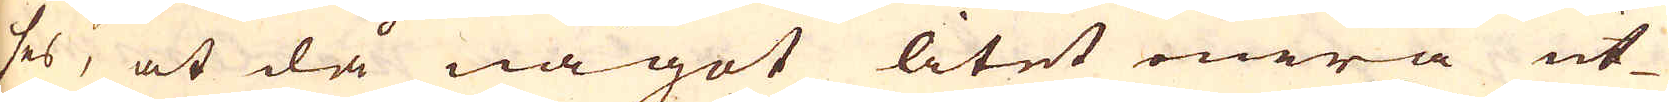ses, at då något litet mera ut-
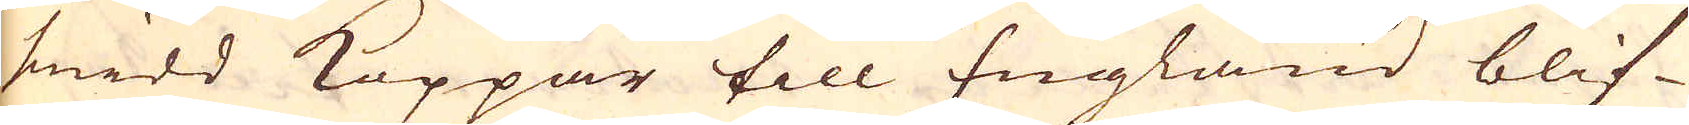smidd Koppar till England blif-
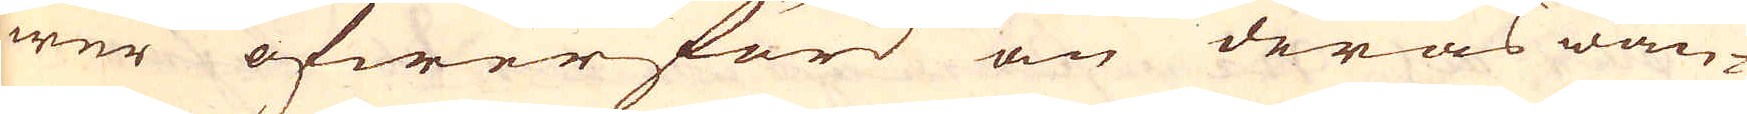wer öfwerförd än deras wän-
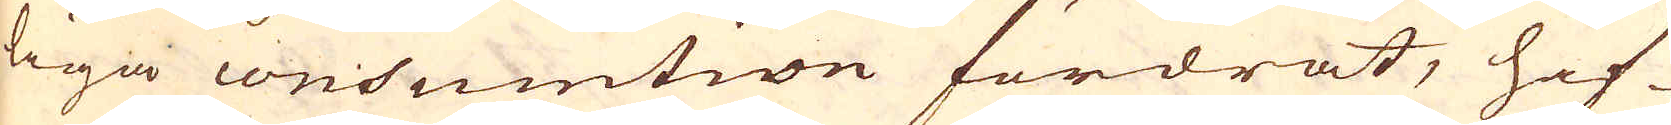liga conssumtion fordrat, haf-
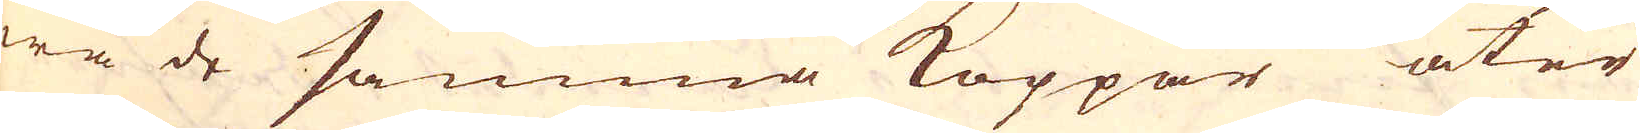wa de samma Koppar åter
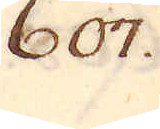607.
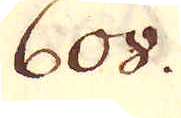608.
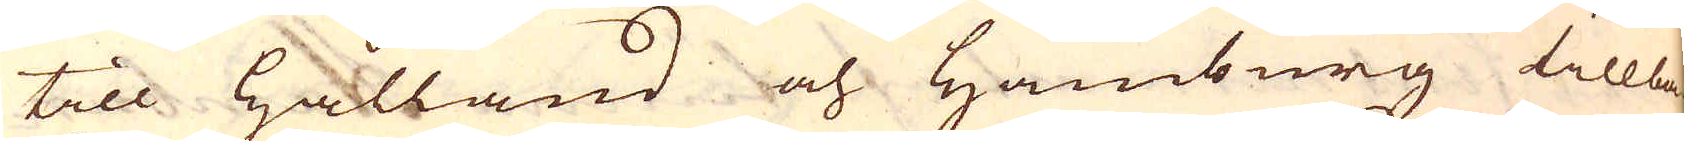till Hålland och Hamburg tillba-
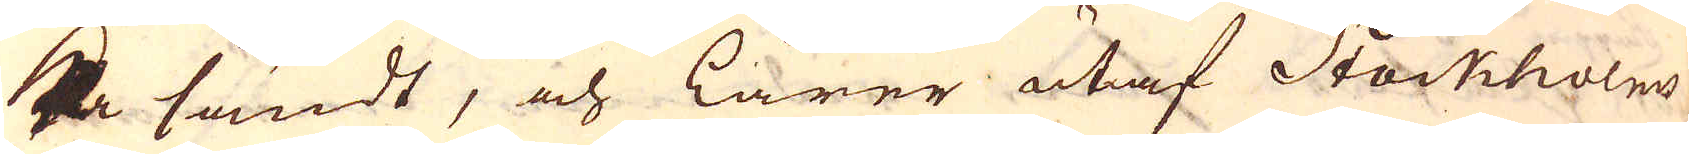ka sändt, och lärer utaf Stockholms
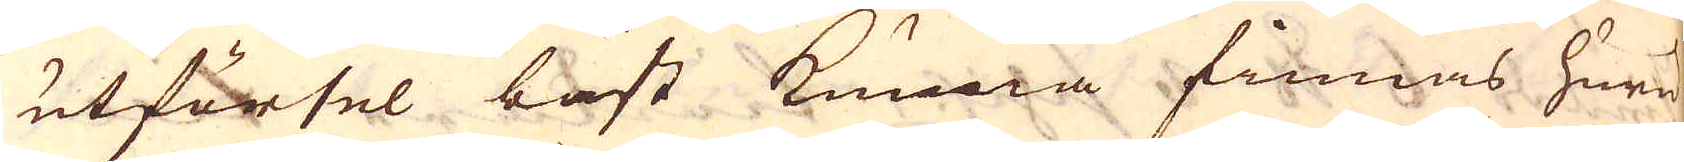utförsel bäst kunna finnas huru
